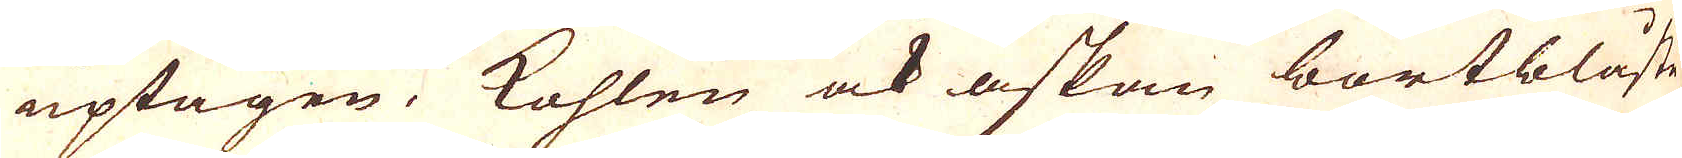uptagen, Kohlen ock askan bortblåste
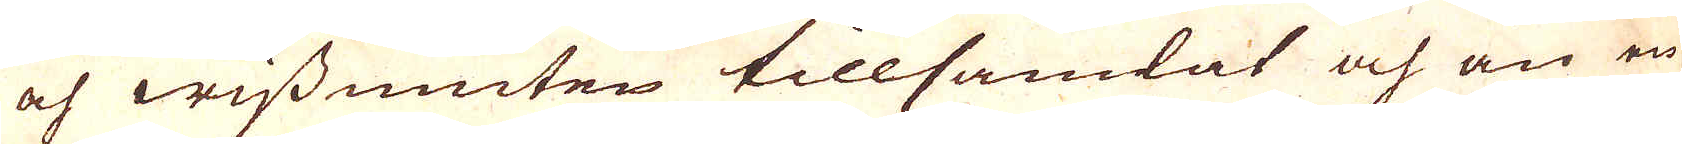och wissmuten tillsamlat och än en
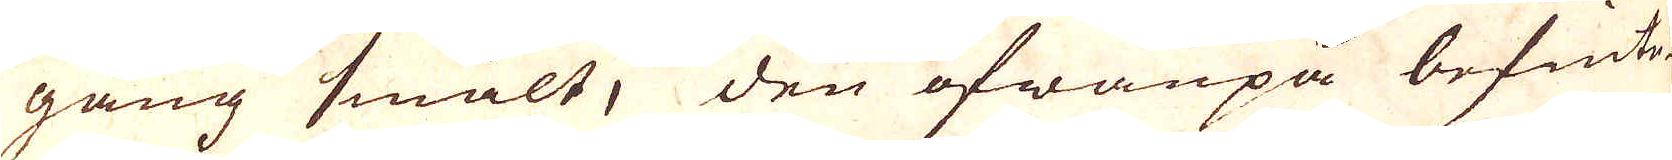gång smält, den ofwanpå befinte-
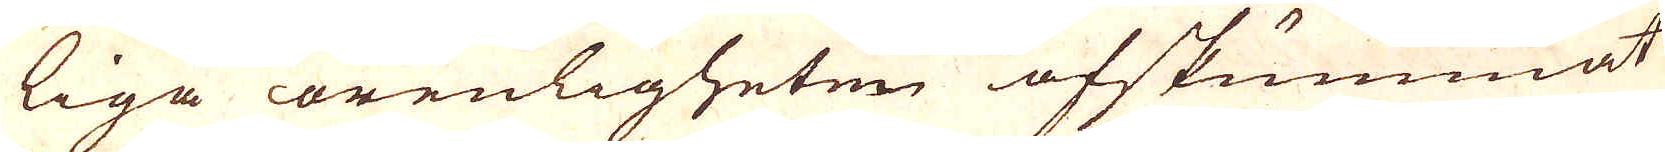liga orenligheten afskummat
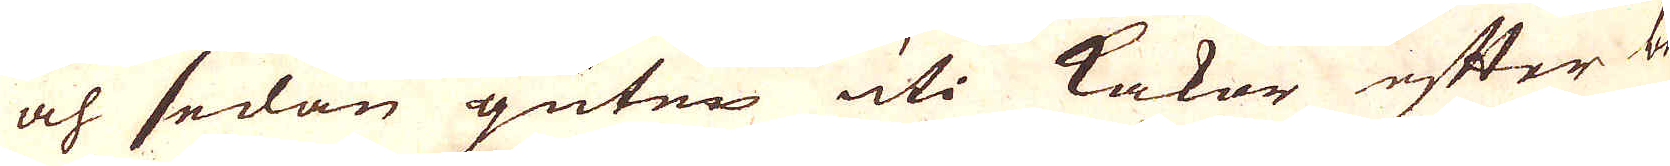och sedan gutes uti kakor efter be-
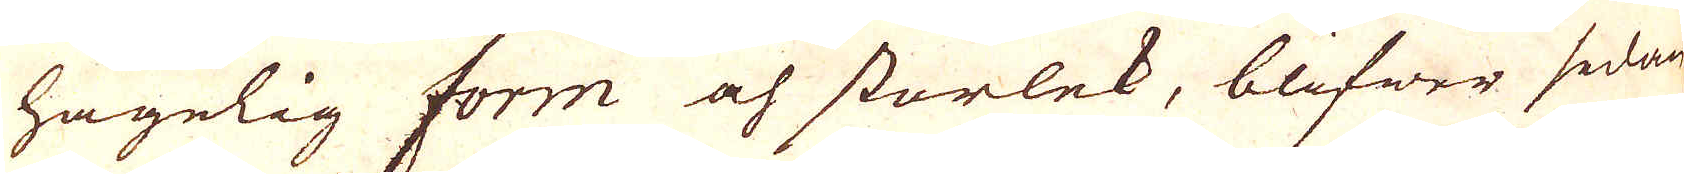hagelig form och storlek, blifwer sedan
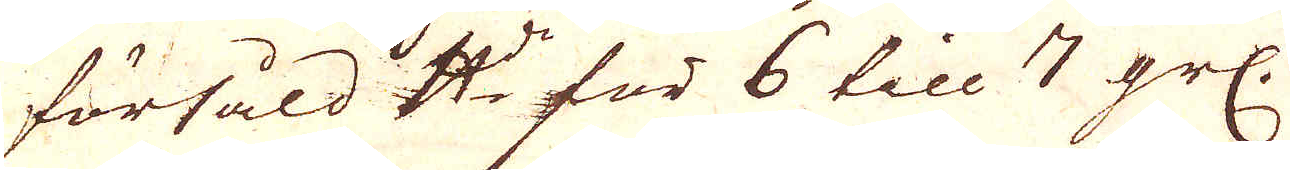försåld skålpundet för 6 till 7 grs.
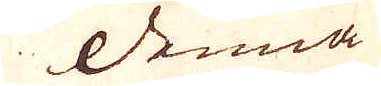Denna
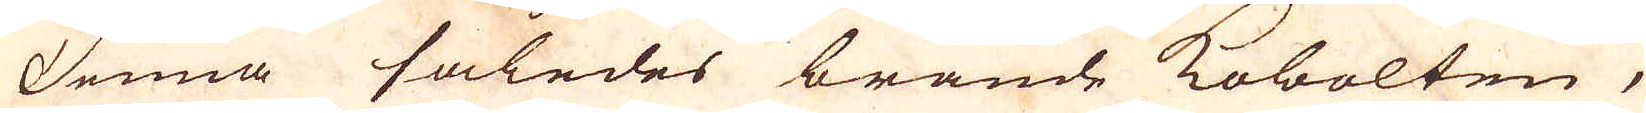Denna således brände kobolten,
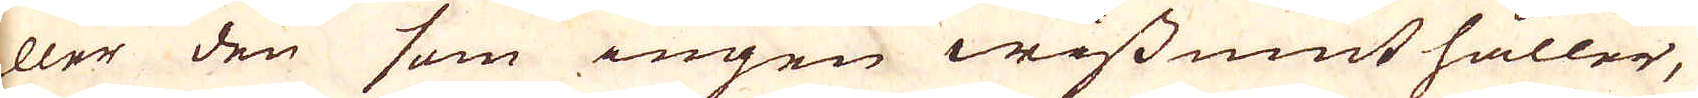eller den som ingen wissmut håller,
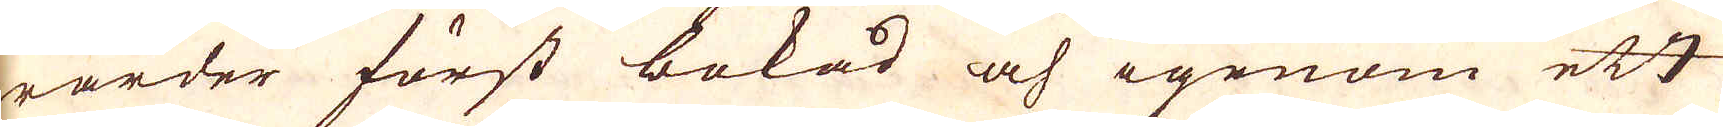warder först bokad och igenom ett
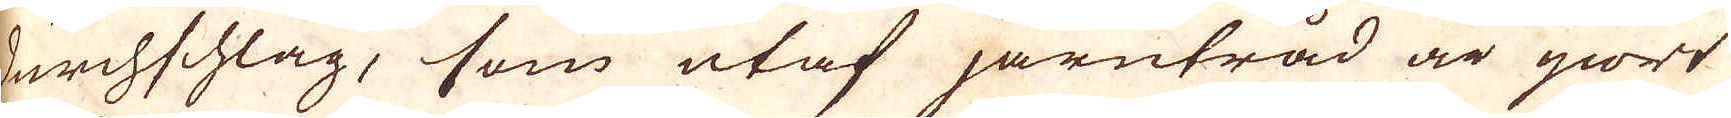durchschlag, som utaf järntråd är giort
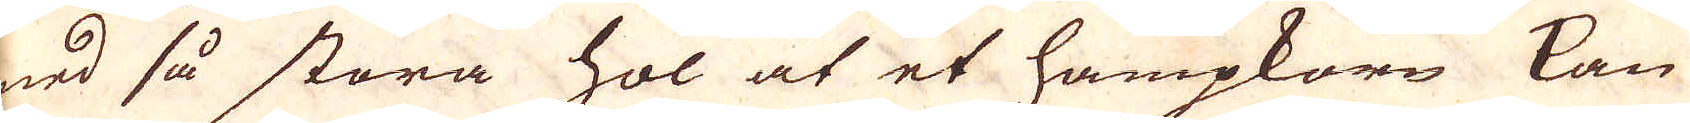med så stora hol at et hampkorn kan
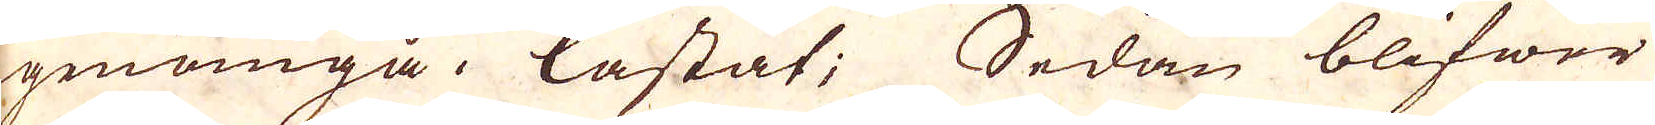igenomgå kastat; Sedan blifwer
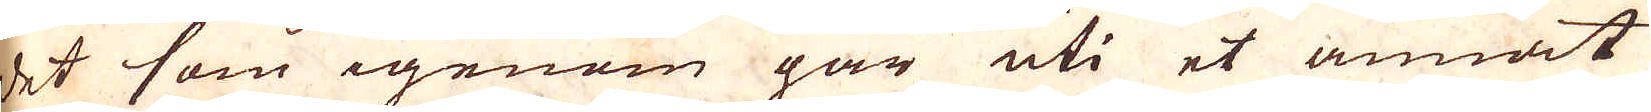det som igenom går uti et annat
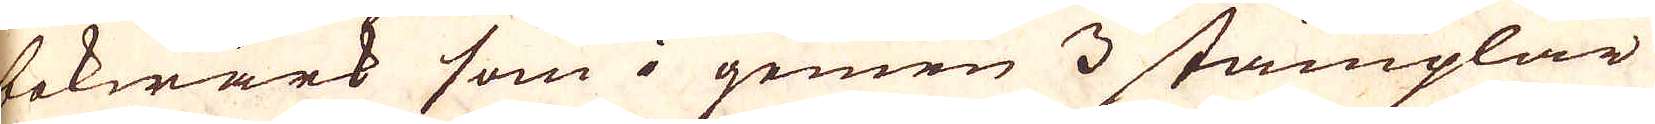bokwärk som i gemen 3 stämplar
